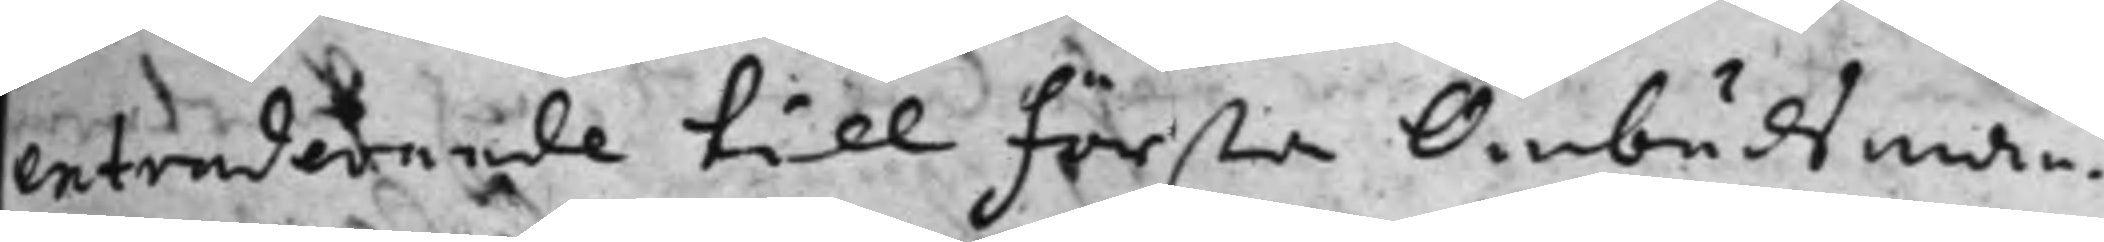extraderande till första Ombudsman¬
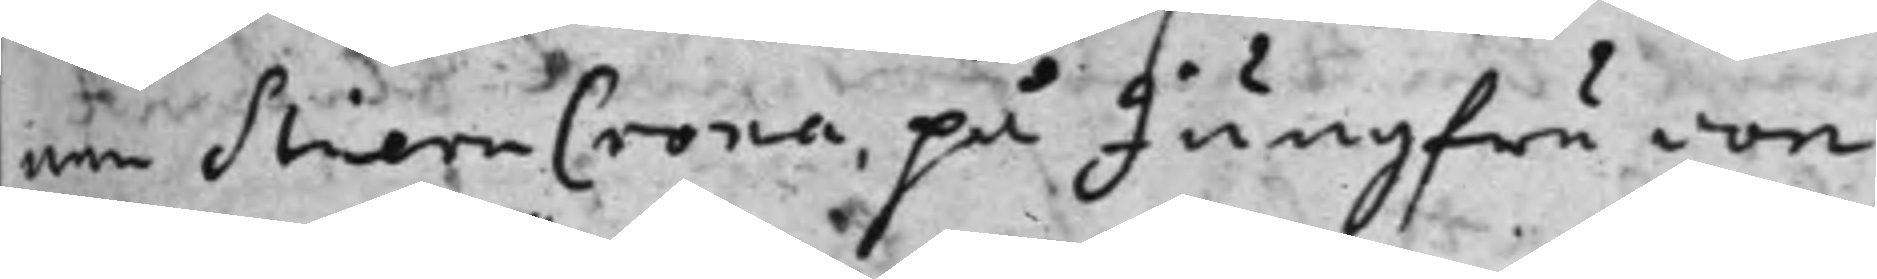nen StiernCrona, på Jungfru von
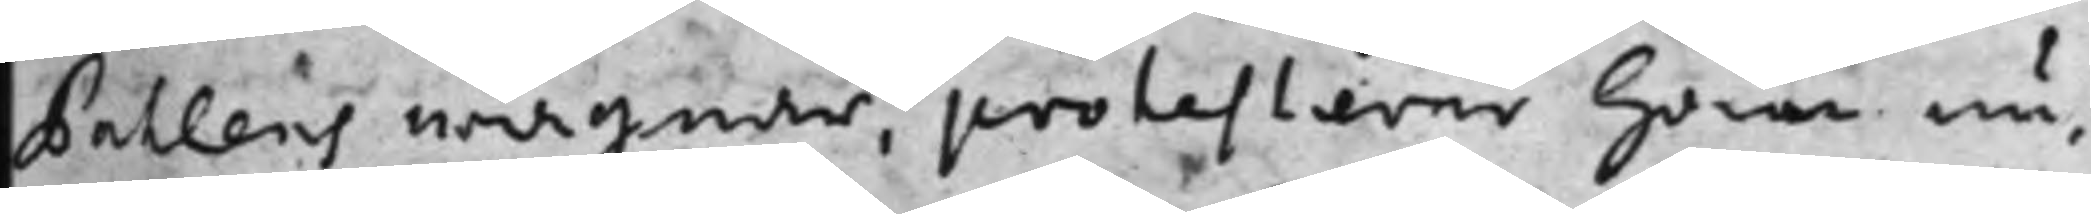Pahlens wägnar, protesterer han nu,
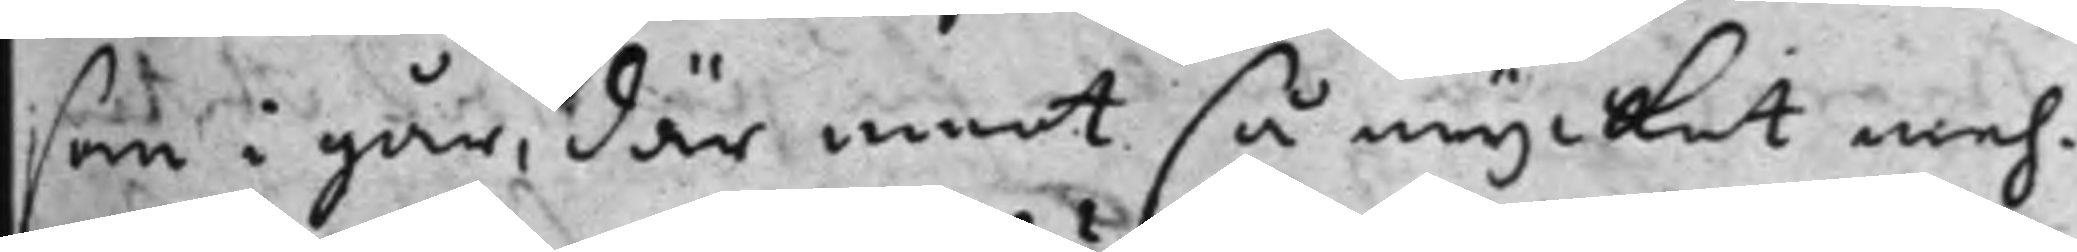som i går, där emot så mycket meh¬
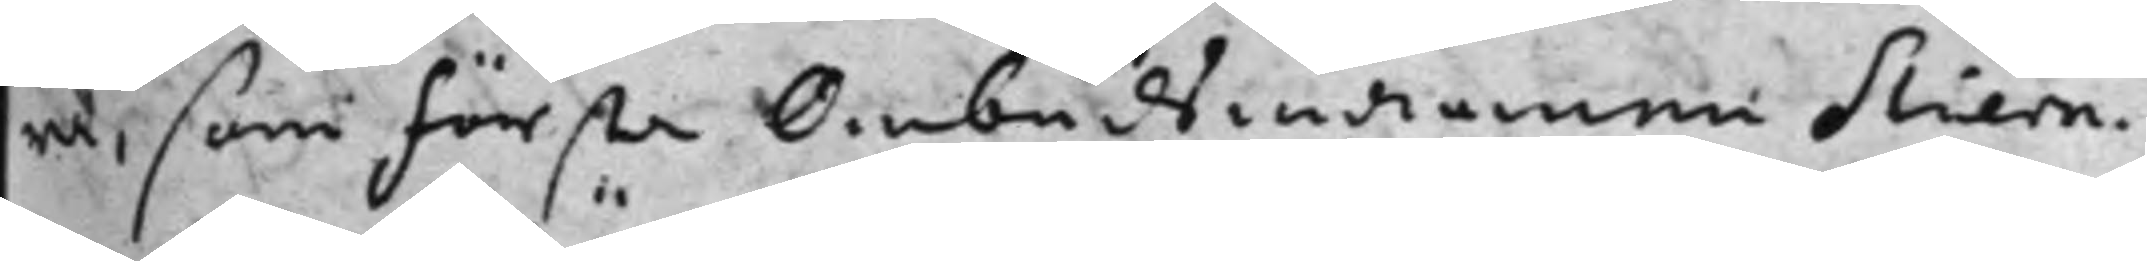ra, som första Ombudsmannen Stiern¬
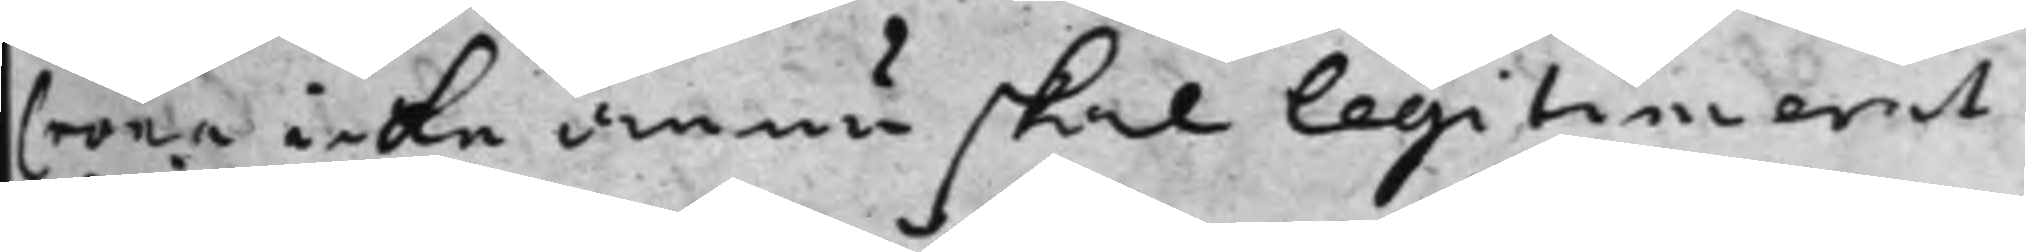Crona icke ännu skal legitimerat
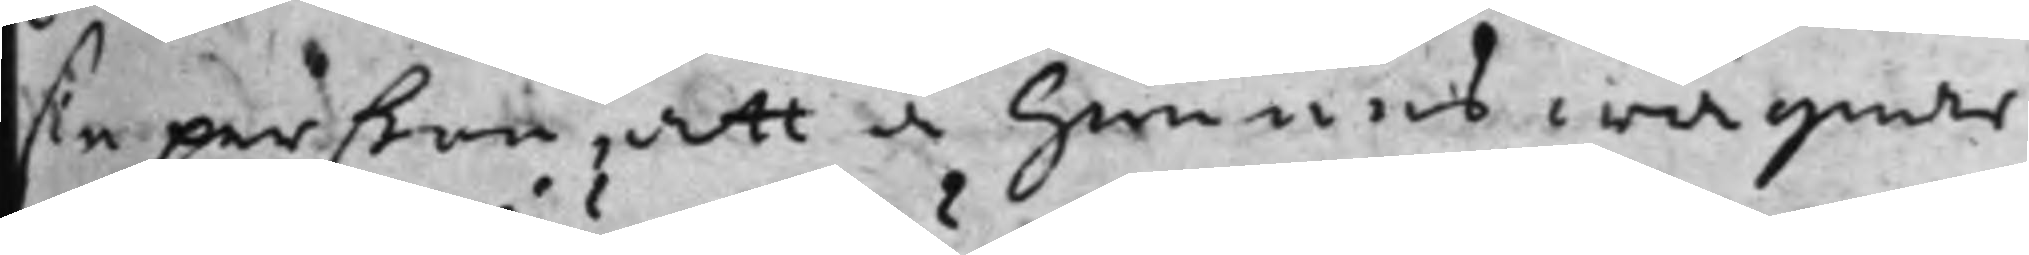sin perßon, att å hennes wägnar
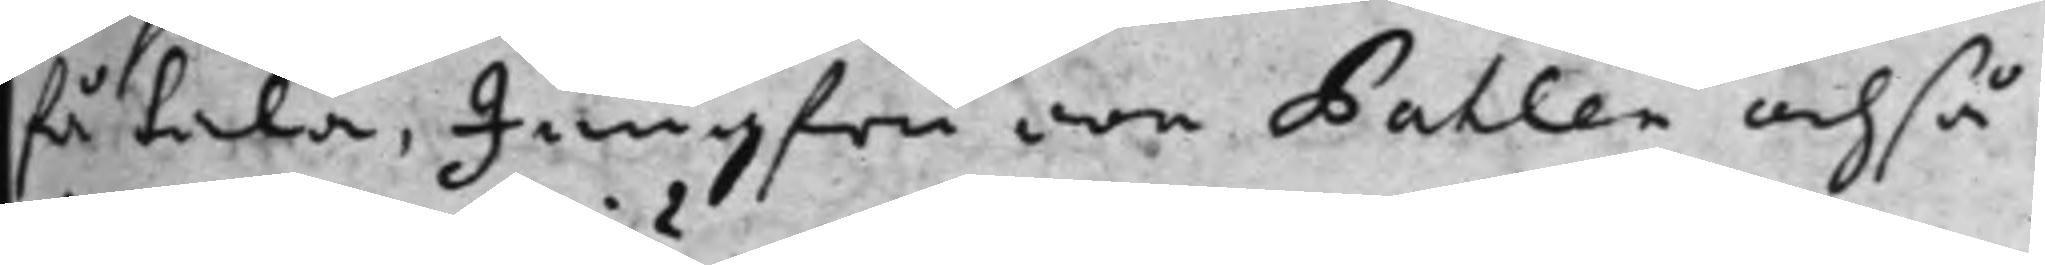få tala, Jungfru von Pahlen ochså
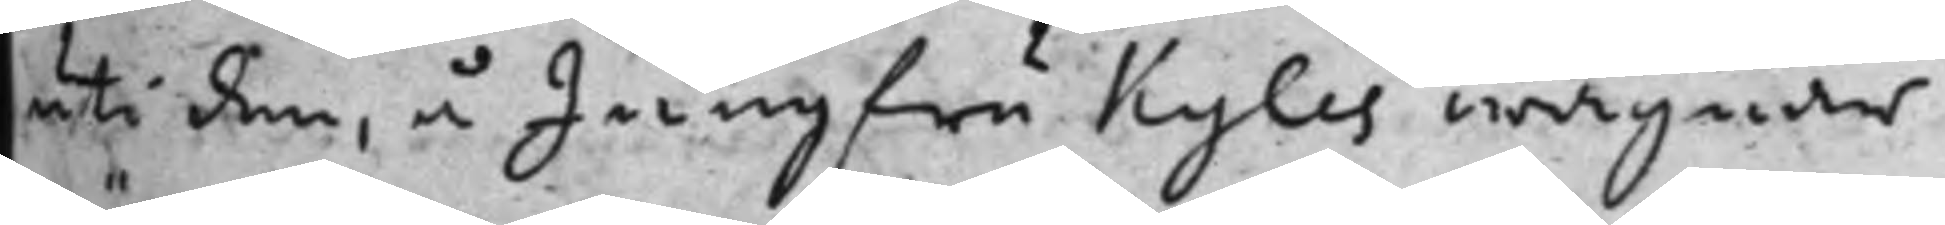uti den, å Jungfru Kyles wägnar
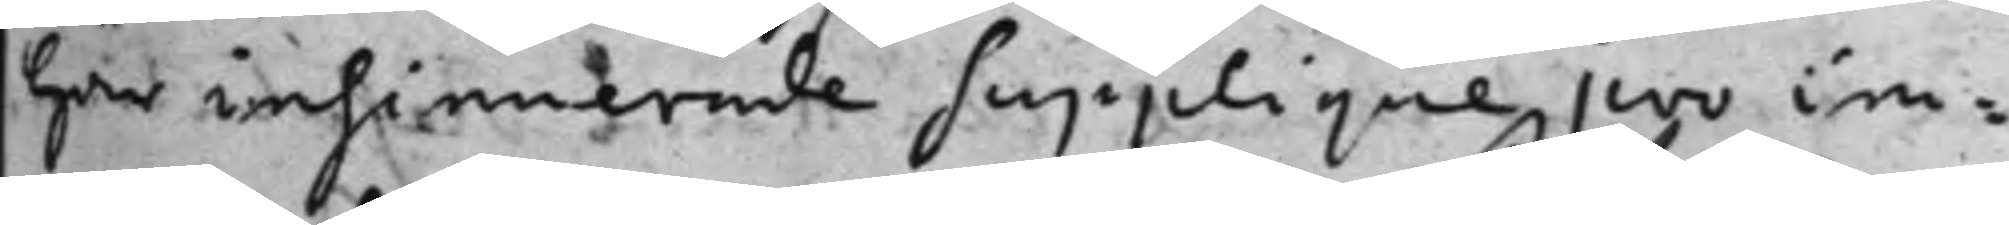här insinnerade supplique pro im¬
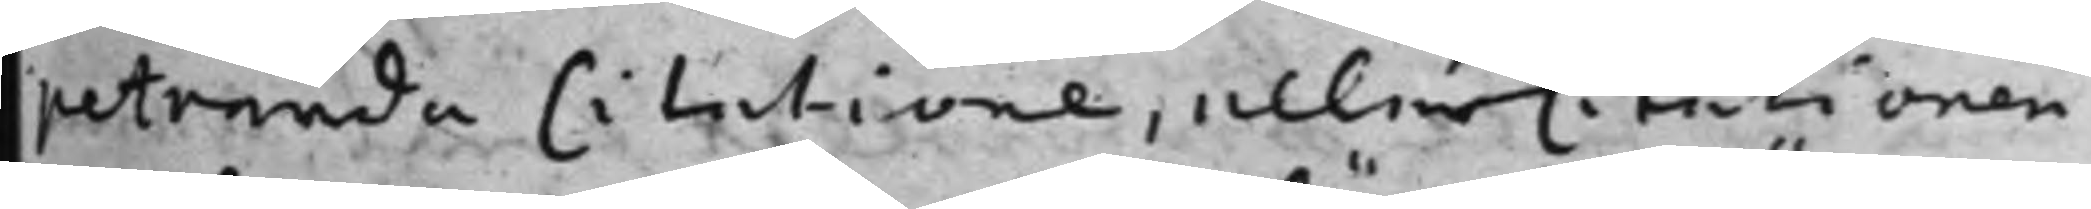petranda Citatione, eller Citationen
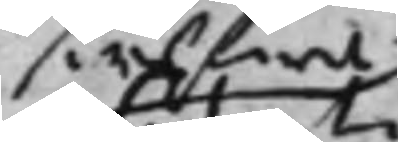siälfwa
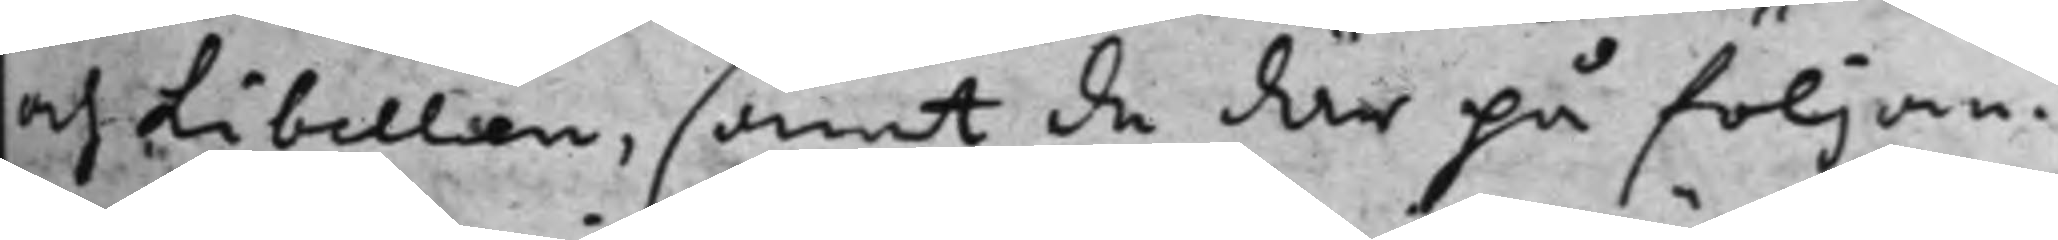och libellen, samt de här på följan¬
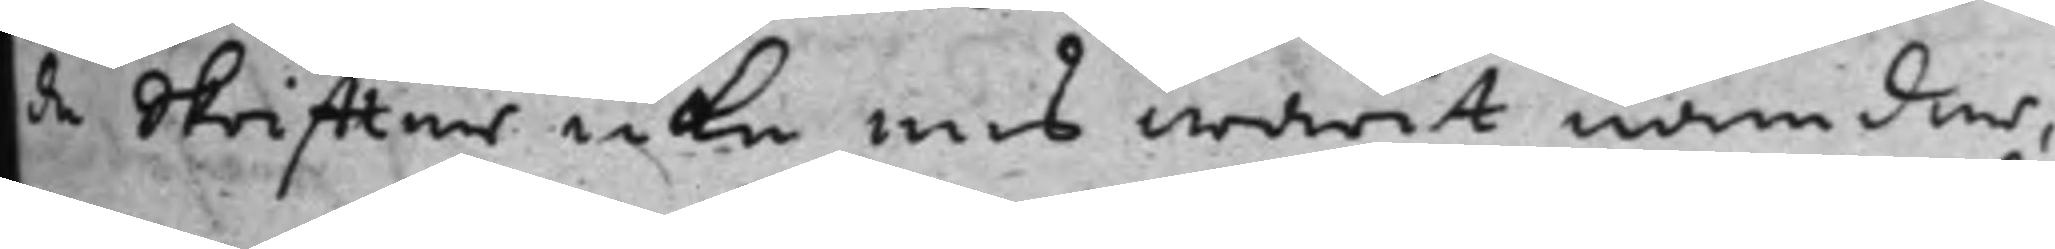de skriffter icke ens warit nämder,
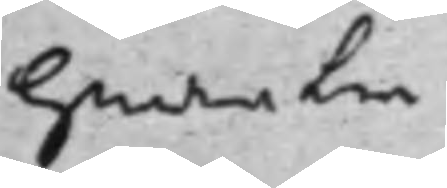hwarken
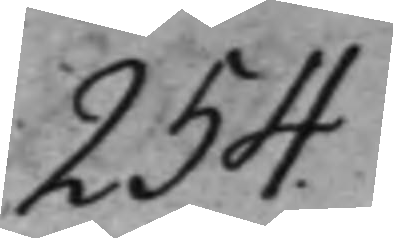254.
